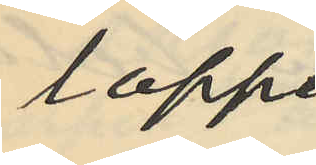loppet
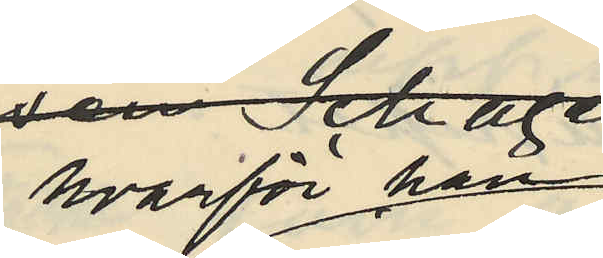hvarför han
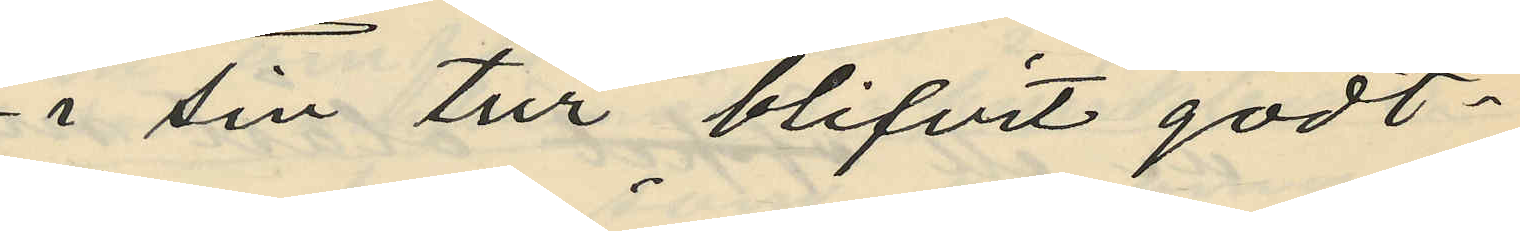i sin tur blifvit godt¬
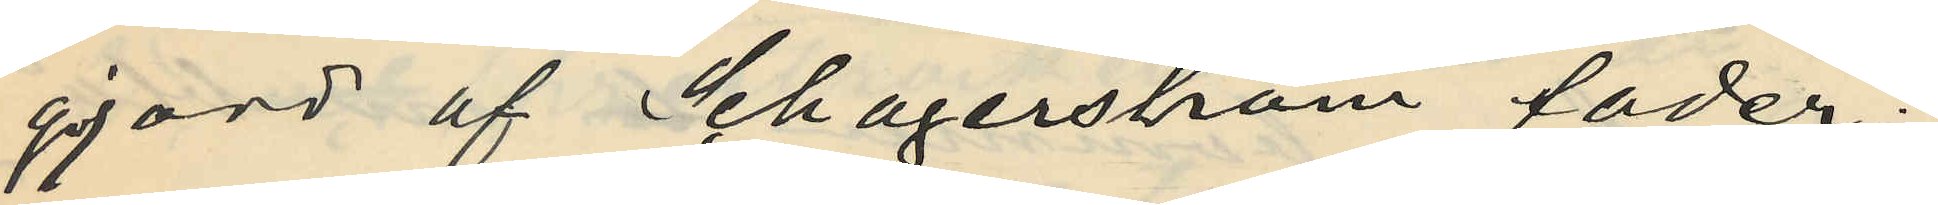gjord af Schagerström fader;
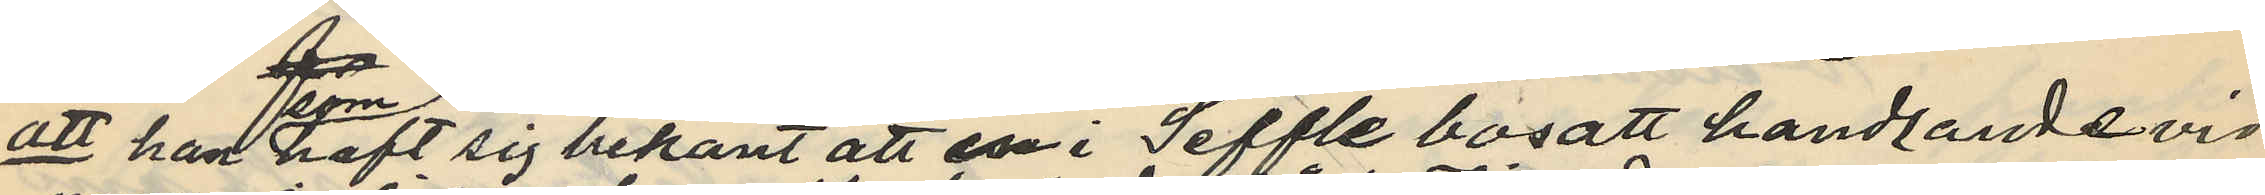att han som haft sig bekant att en i Seffle bosatt handlande vid
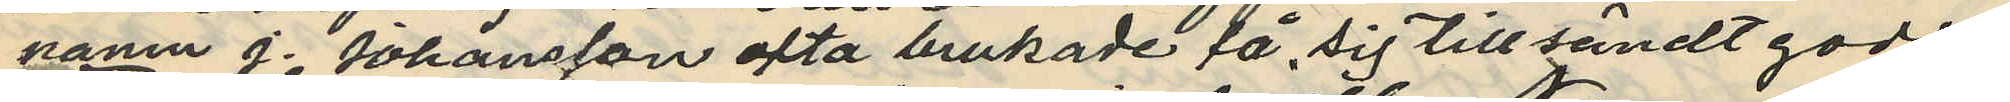namn J. Johansson ofta brukade få sig tillsändt gods
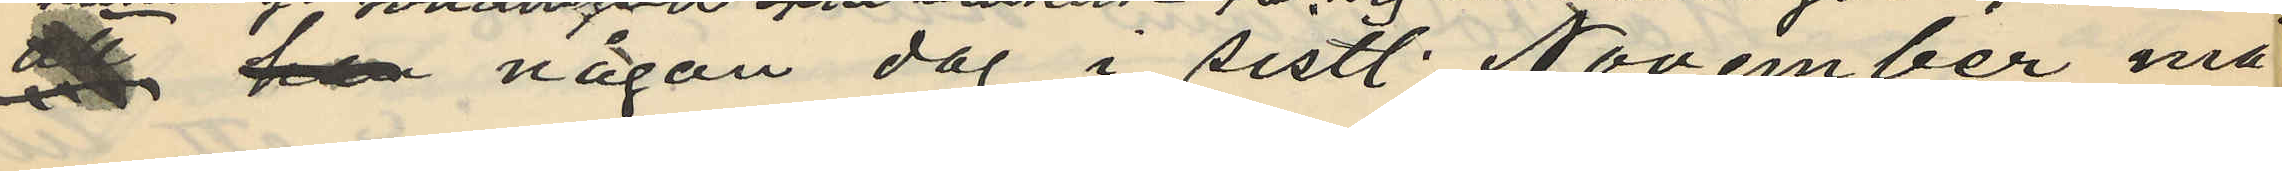& han någon dag i sistl. November må¬
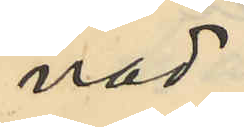nad
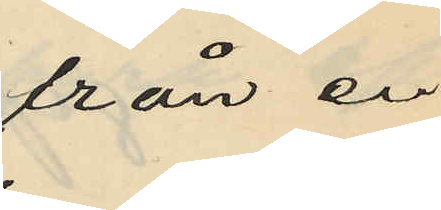från en
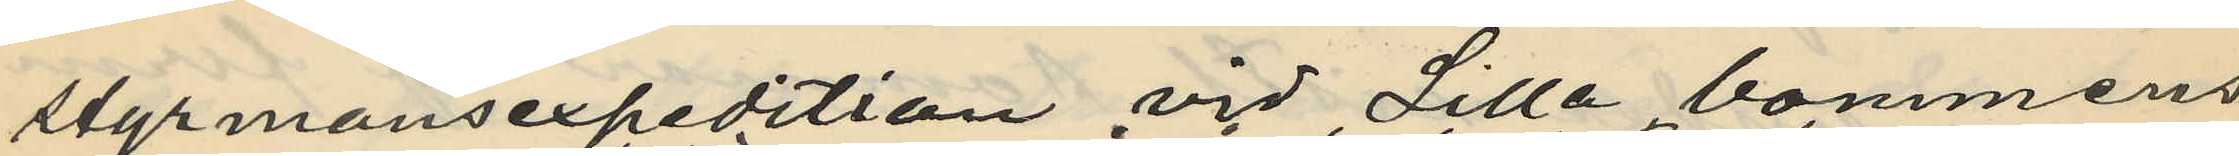styrmansexpedition vid Lilla bommens
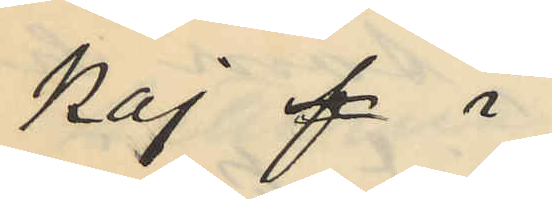kaj af i
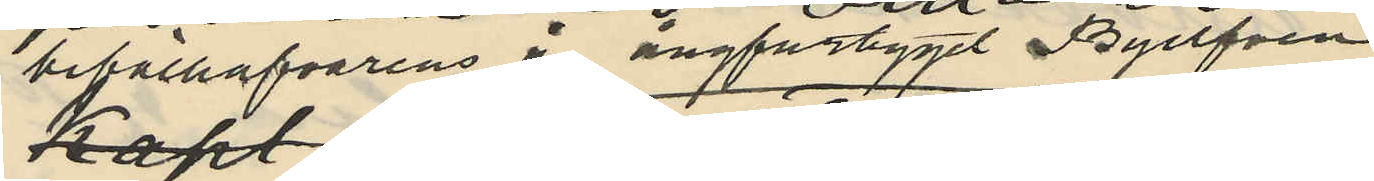befälhafvarens å ångfartyget Byllfven
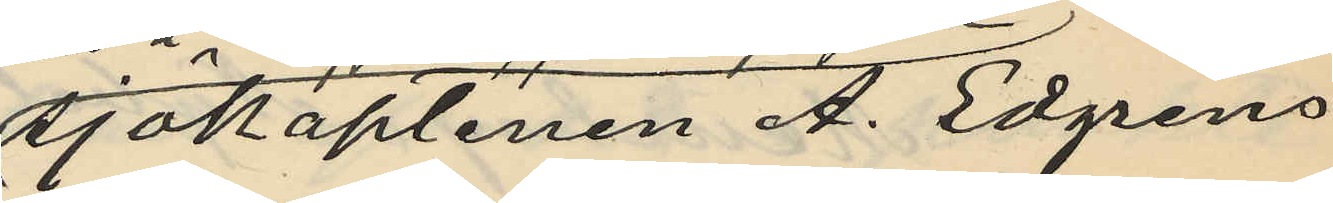sjökaptenen A. Edgrens
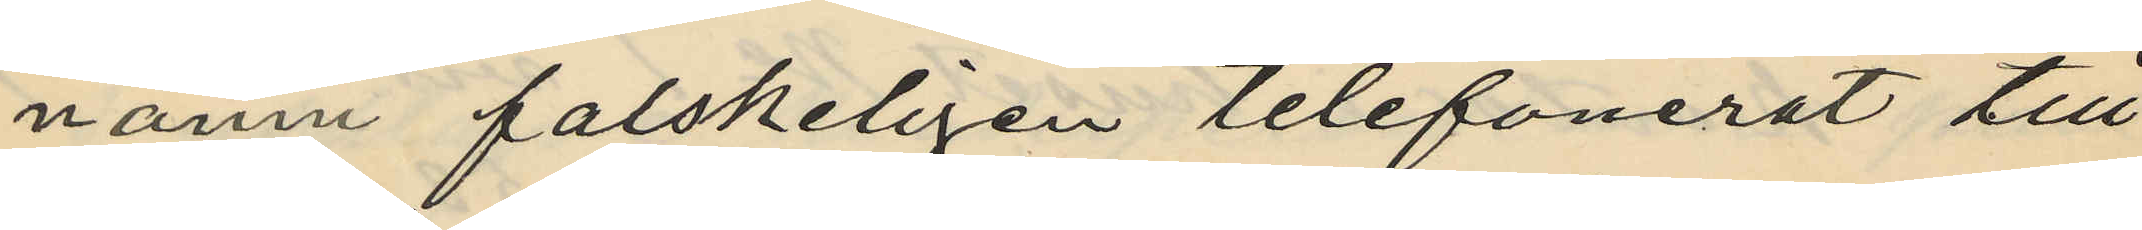namn falskeligen telefonerat till
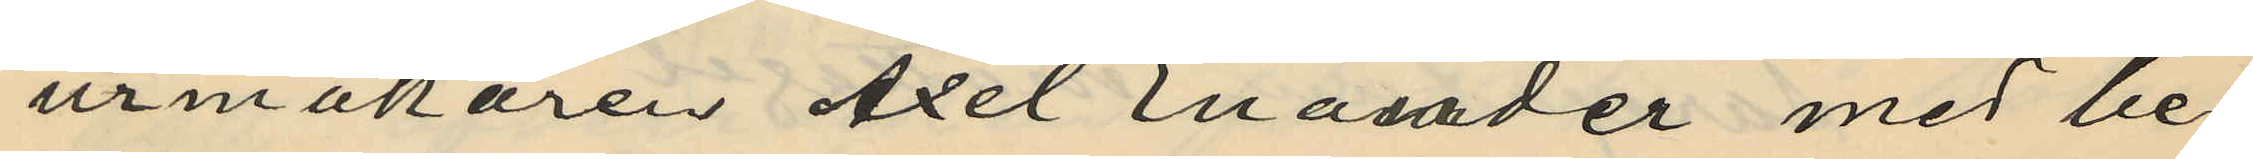urmakaren Axel Enanader med be¬
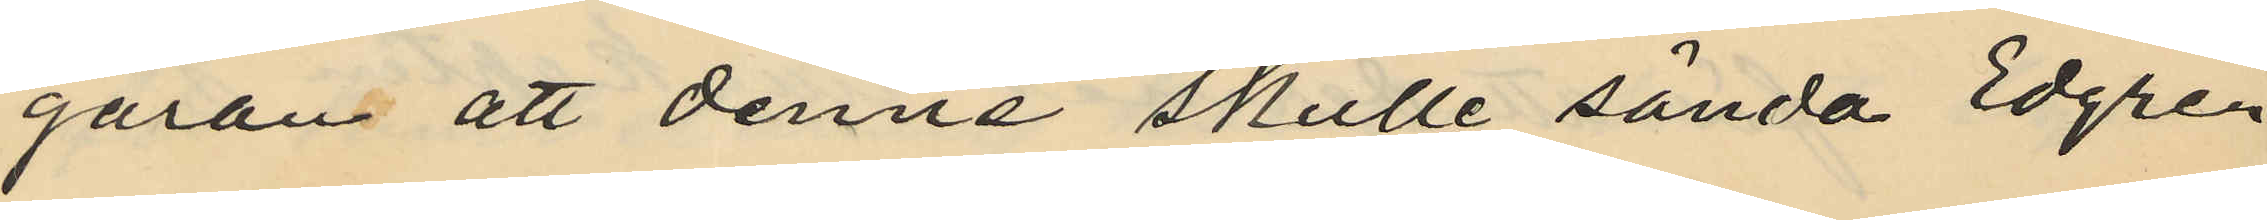gäran att denne skulle sända Edgren
